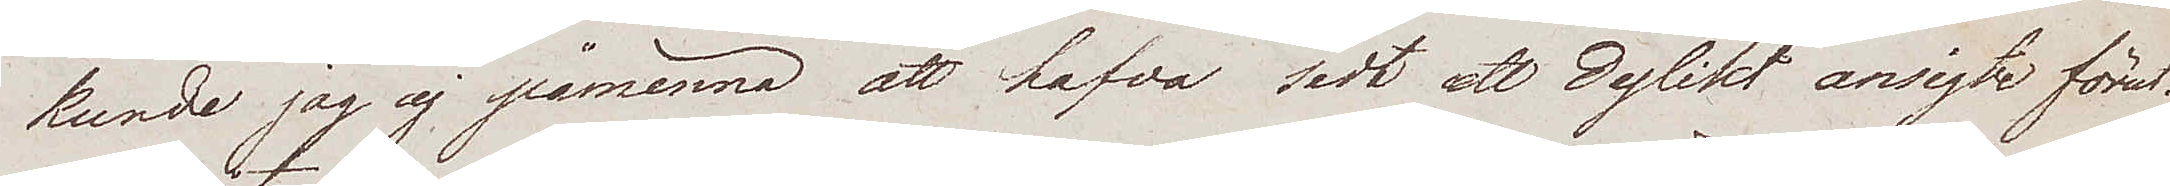kunde jag ej påminna att hafva sedt ett dylikt ansigte förut.
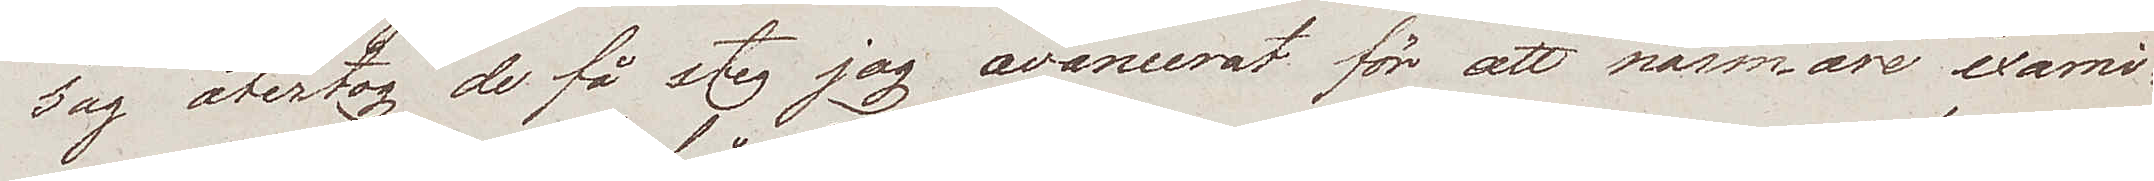Jag återtog de få steg jag avancerat för att närmare exami¬
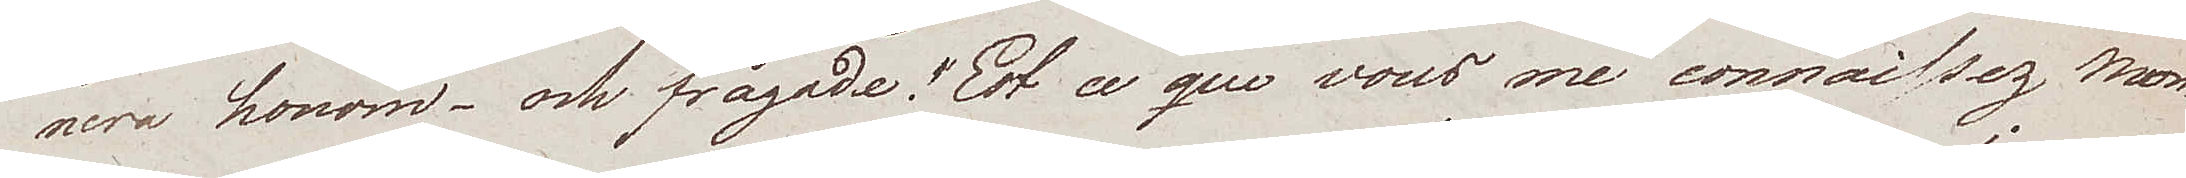nera honom – och frågade "Est ce que vous me connaissez Mon¬
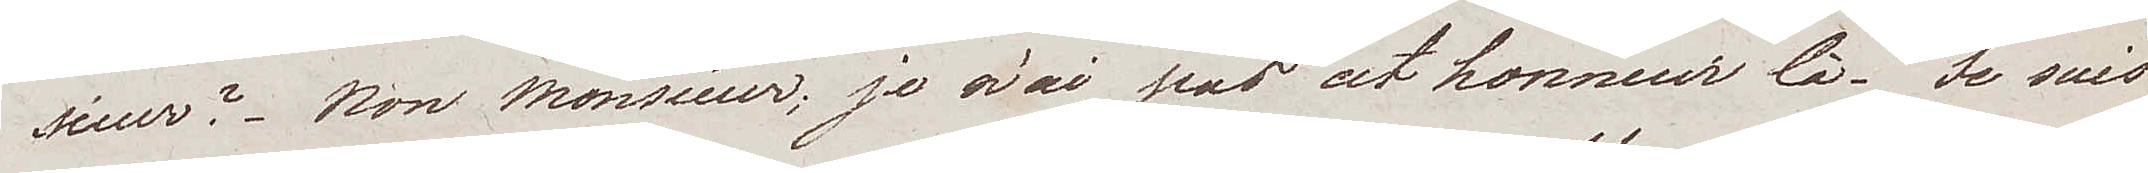sieur? Non monsieur; je n'ai pas cet honneur là. Je suis
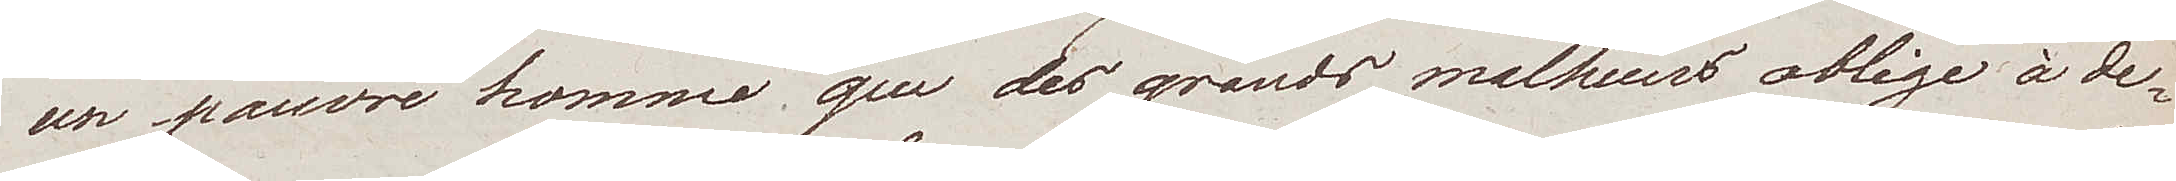un pauvre homme que des grands malheurs oblige à de¬
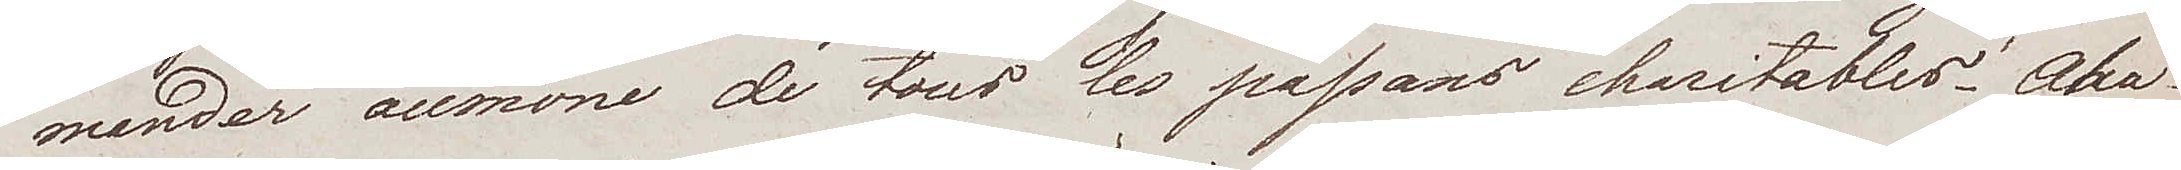mander aumone de tous les passans charitables. Aha
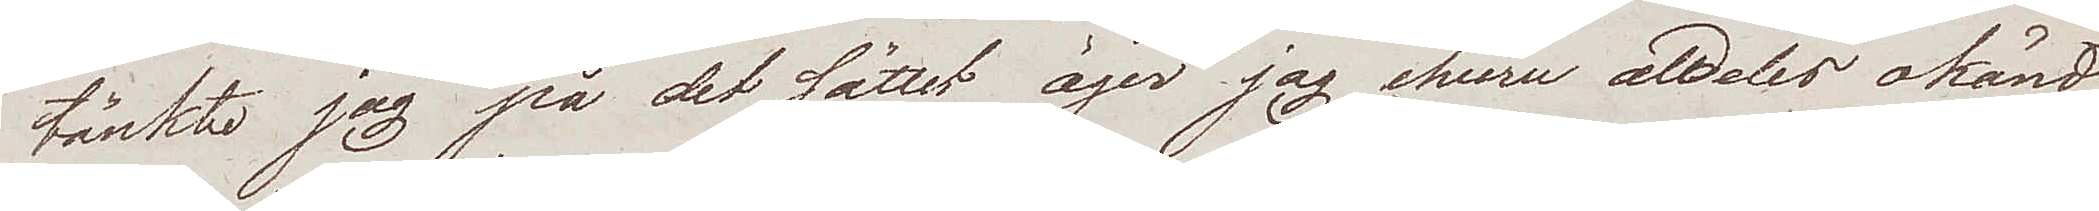tänkte jag på det sättet äger jag, ehuru aldeles okänd
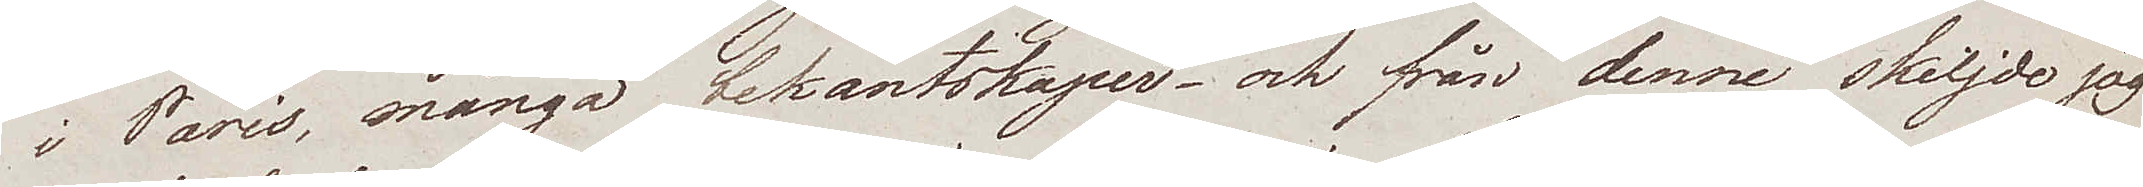i Paris, många bekantskaper – och från denne skiljde jag
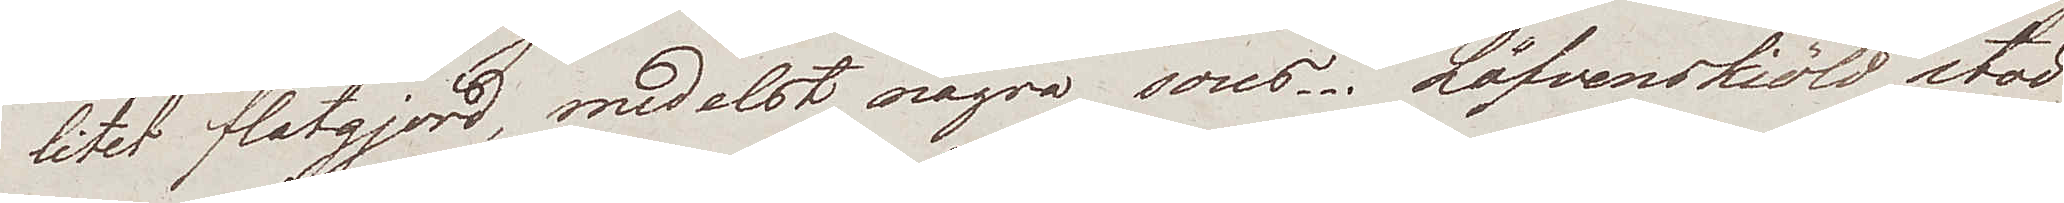litet flatgjord, medelst några sous. Löfvenskiöld stod
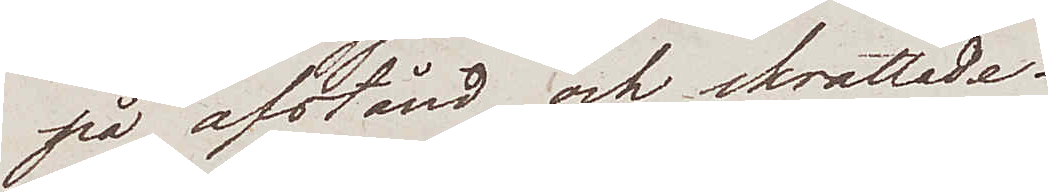på afstånd och skrattade.
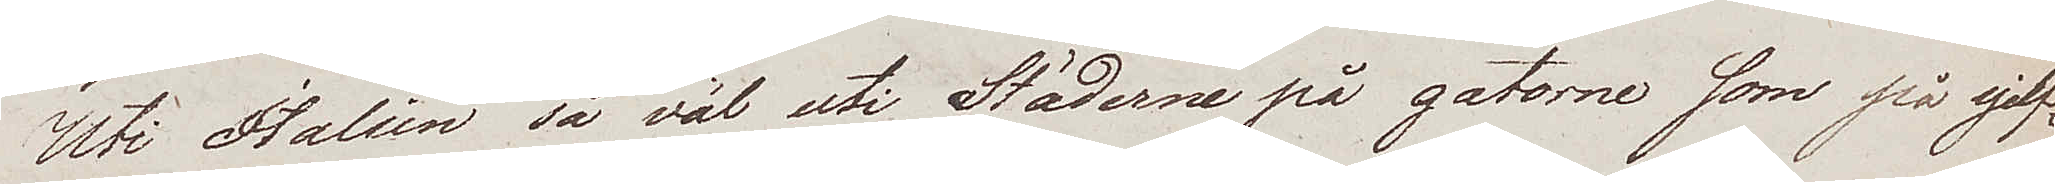Uti Italien så väl uti Städerna på gatorne som på sjelf¬
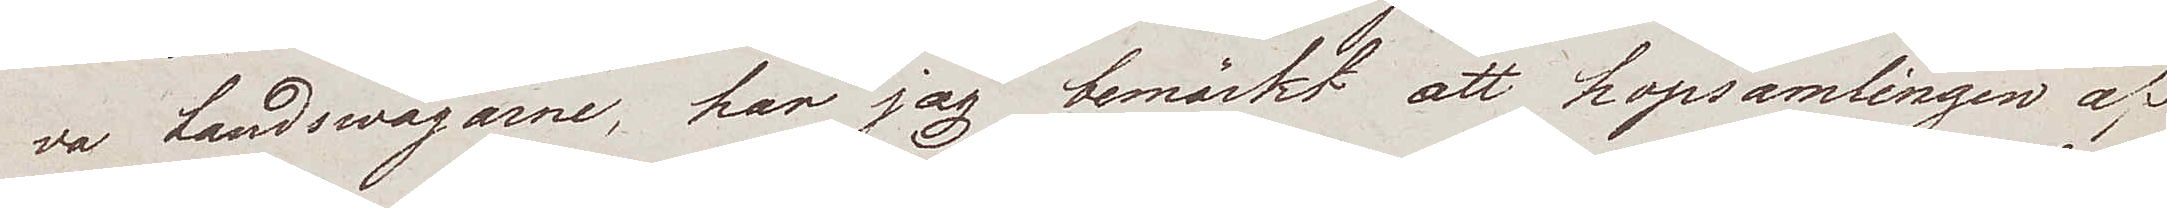va Landswägarne, har jag bemärkt att hopsamlingen af
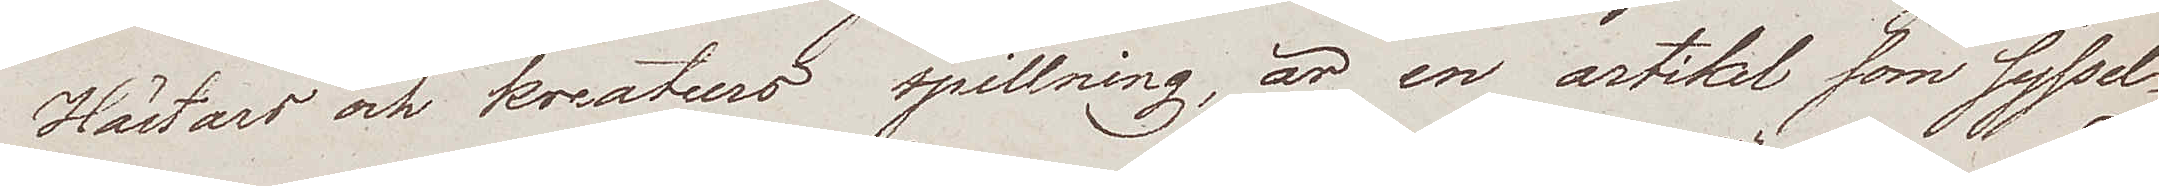Hästars och kreaturs spillning, är en artikel som syssel¬
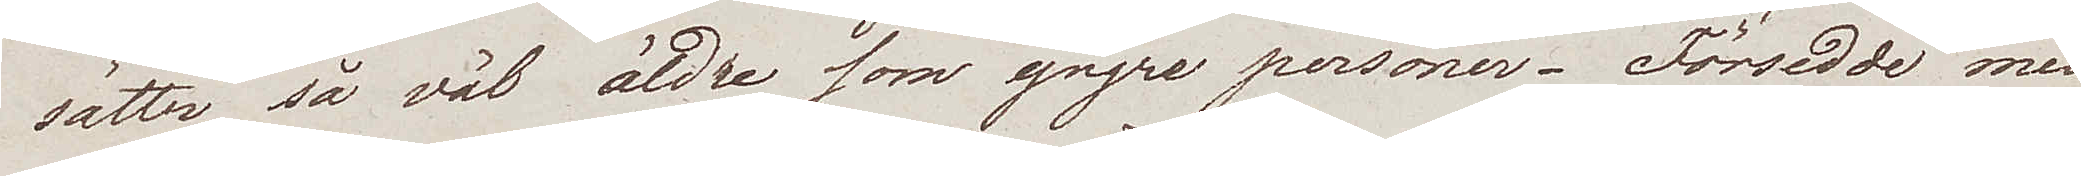sätter så väl äldre som yngre personer. Försedde med
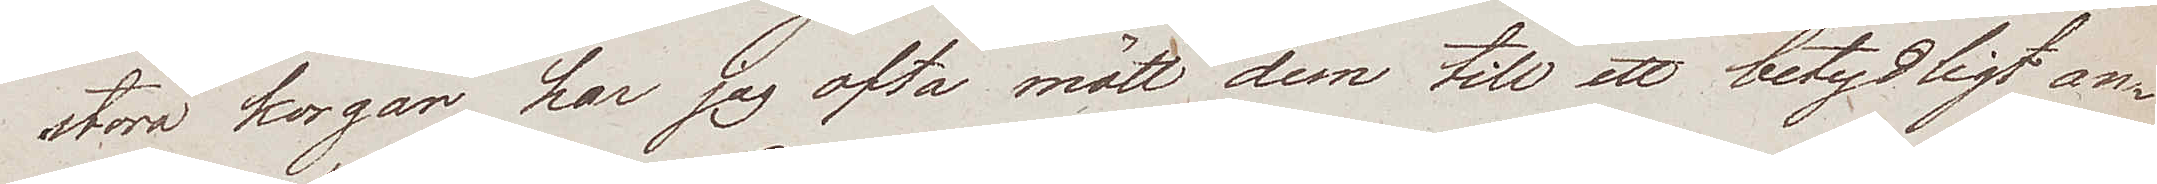stora korgar har jag ofta mött dem till ett betydligt an¬
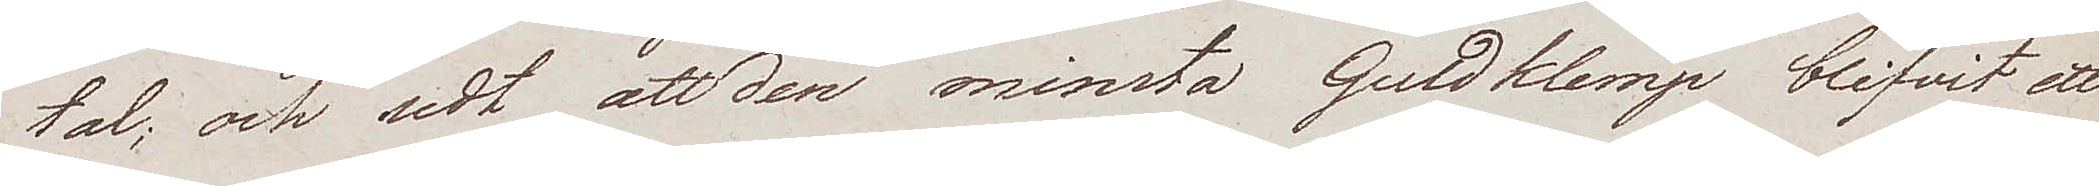tal; och sedt att den minsta Guldklimp blifvit ett
